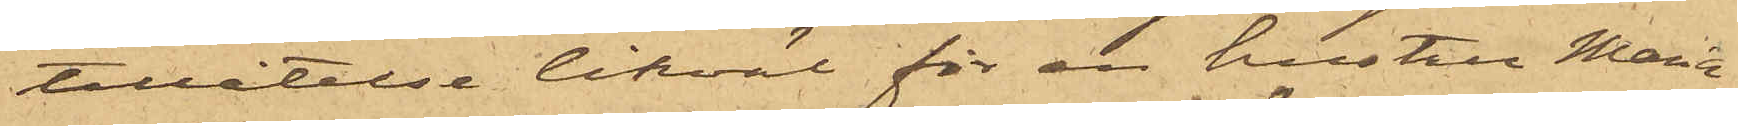tillåtelse likväl för en hustru Maria
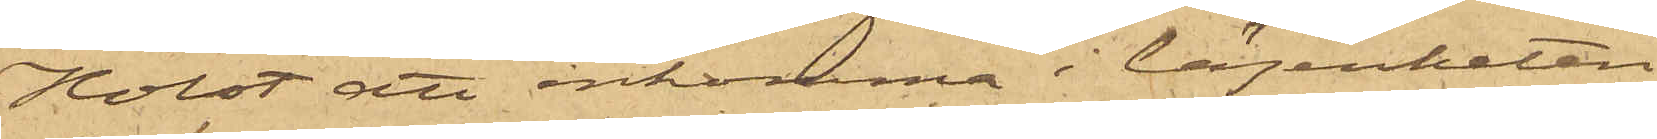Holst att inkomma i lägenheten
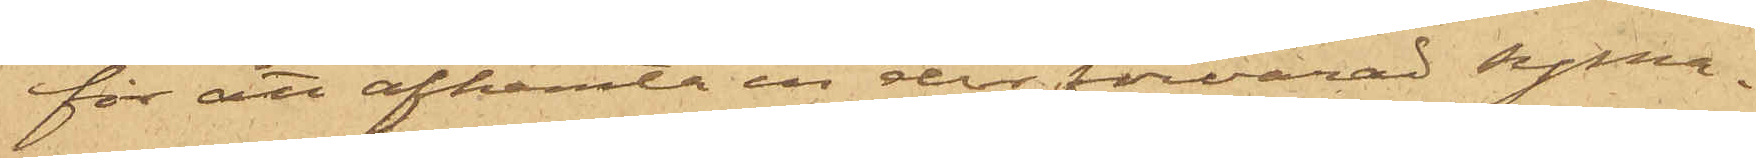för att afhemta en der förvarad syma¬
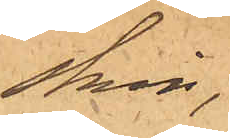skin,
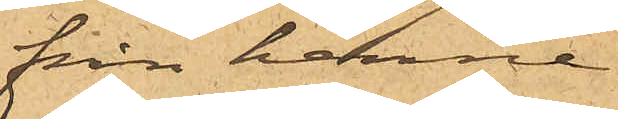från henne
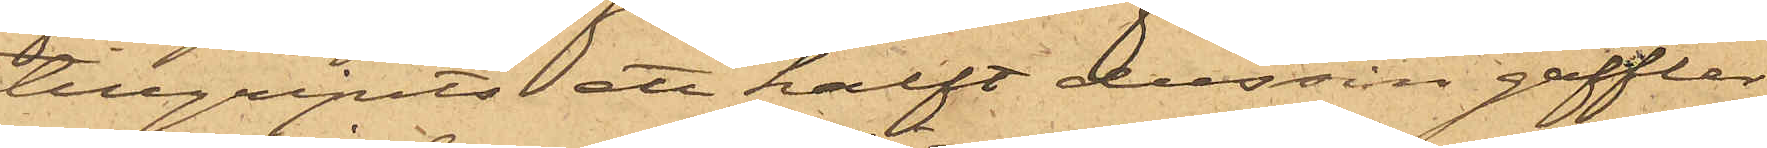tillgripits ett halft dussin gafflar
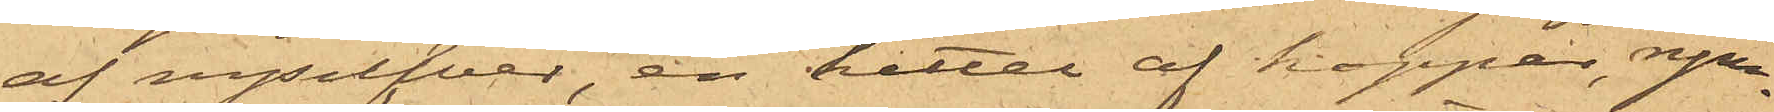af nysilfver, en kittel af koppar, rym¬
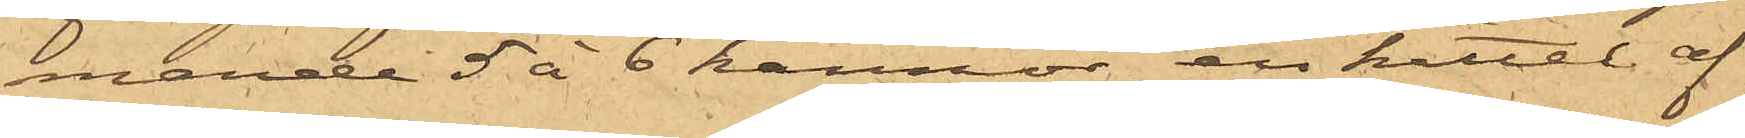mande 5 à 6 kannor, en kittel af
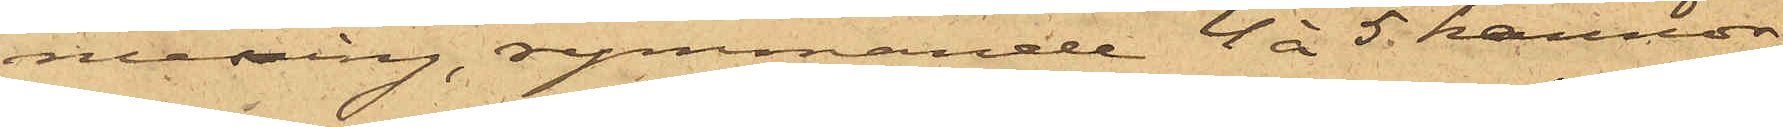messing, rymmande 4 à 5 kannor,
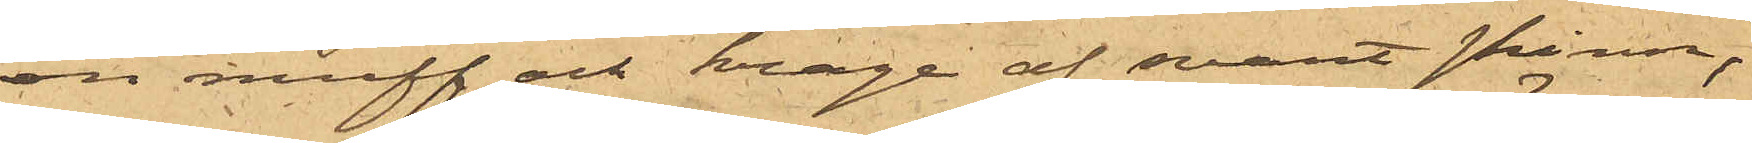en muff och krage af svart skinn,
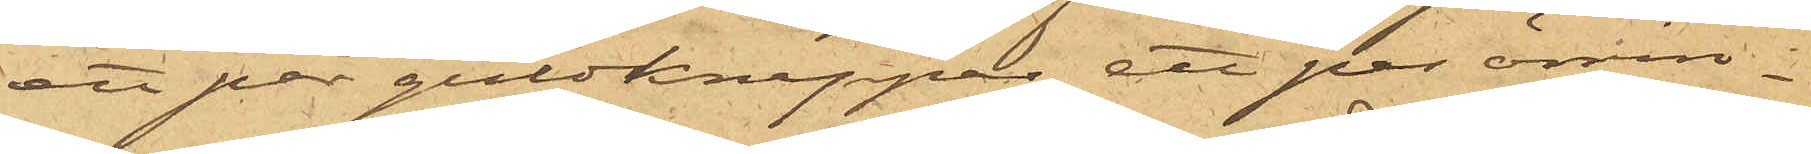ett par guldknappar, ett par örrin¬
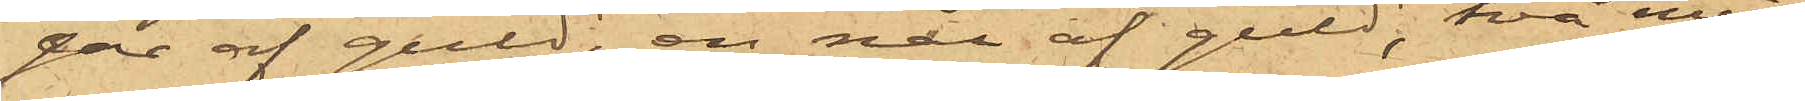gar af guld, en nål af guld, två min¬
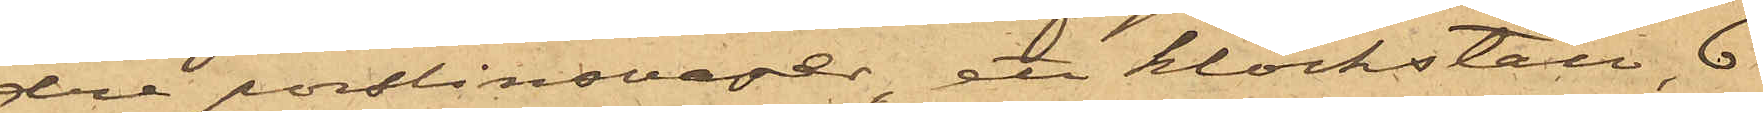dre porslinsvaser, ett klockställ, 6
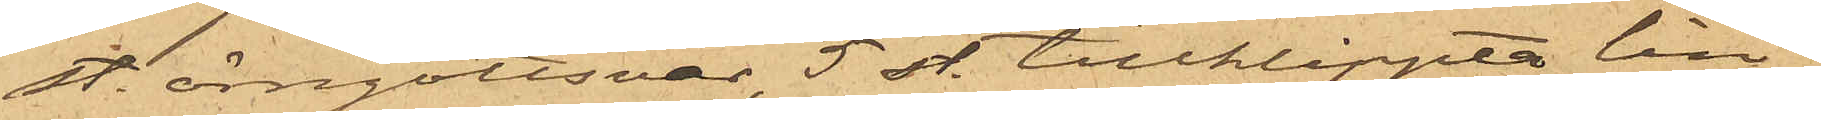st. örngottsvar, 5 st tillklippta lin¬
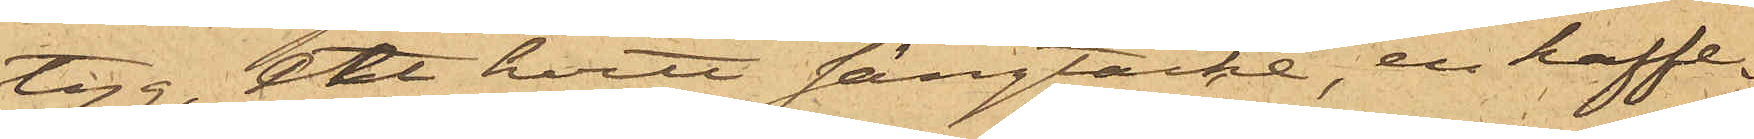tyg, ett hvitt sängtäcke, en kaffe¬
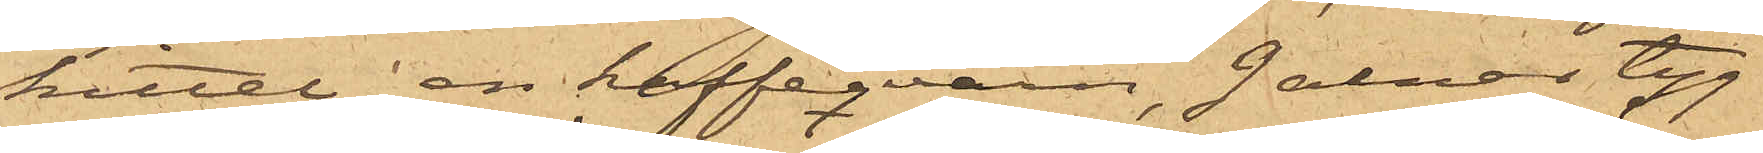kittel, en kaffeqvarn, 9 alnar tyg
